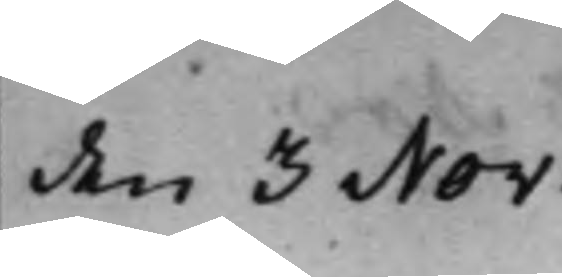den 3 Nov:
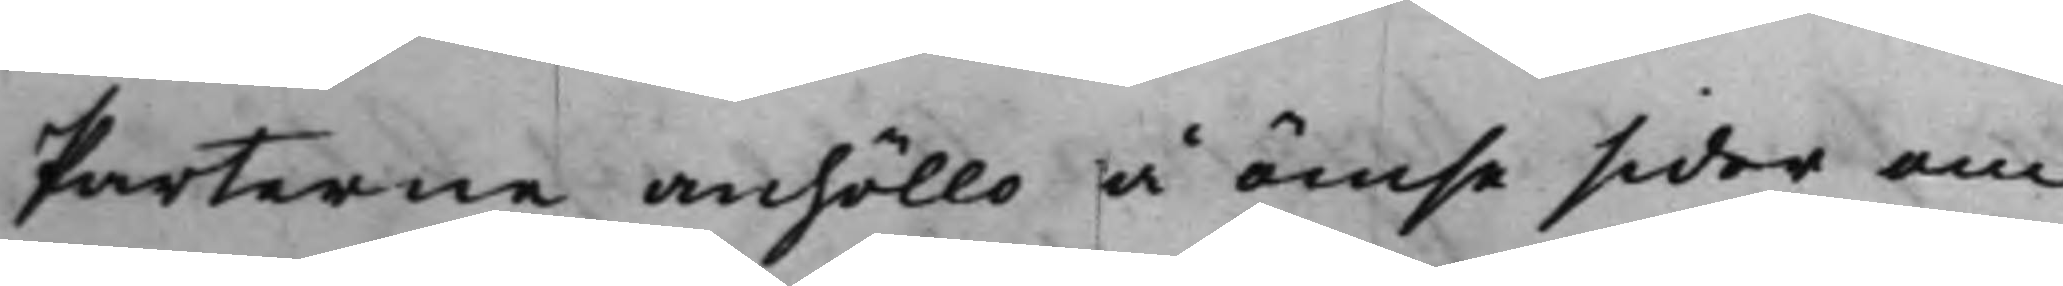Parterne anhöllo å ömse sider om
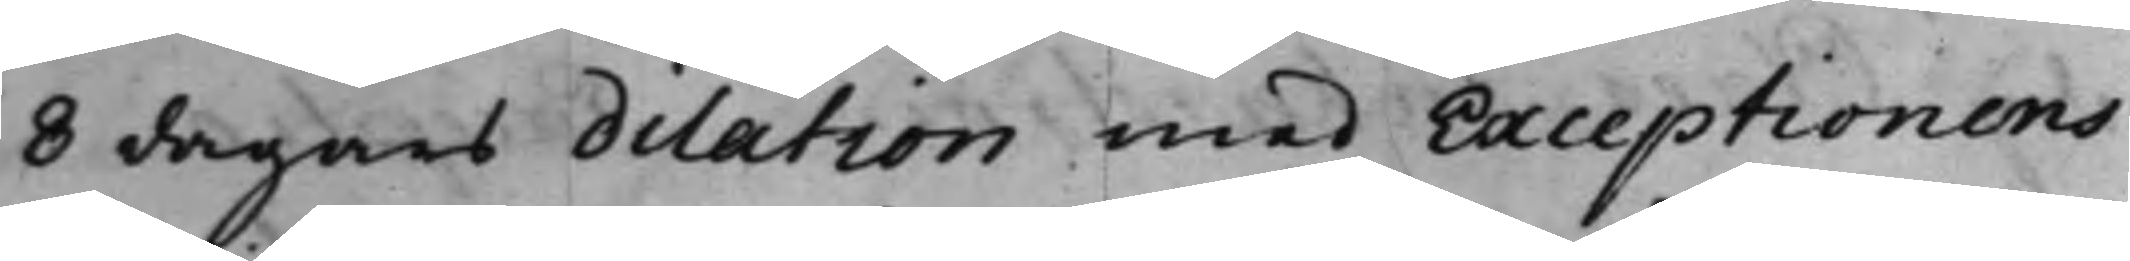8 dagars dilation med Exceptionens
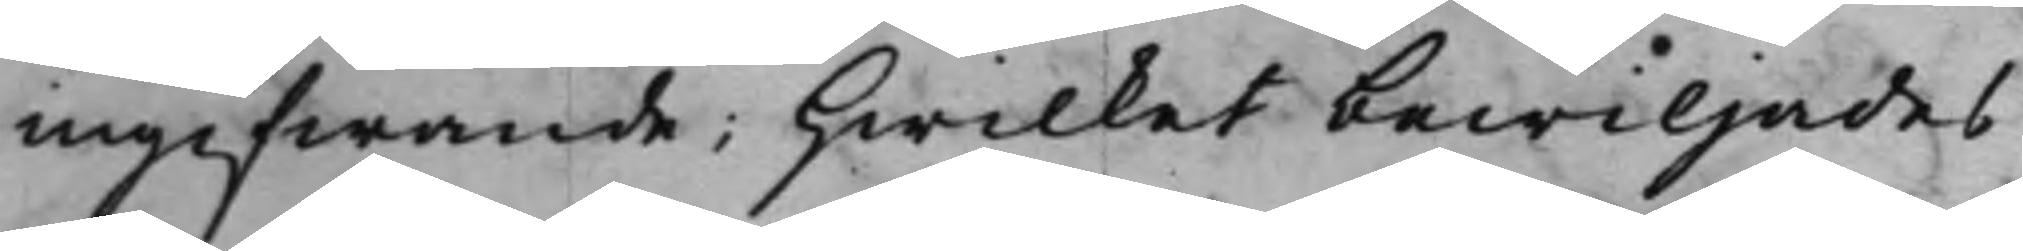ingifwande; Hwilket bewiljades.
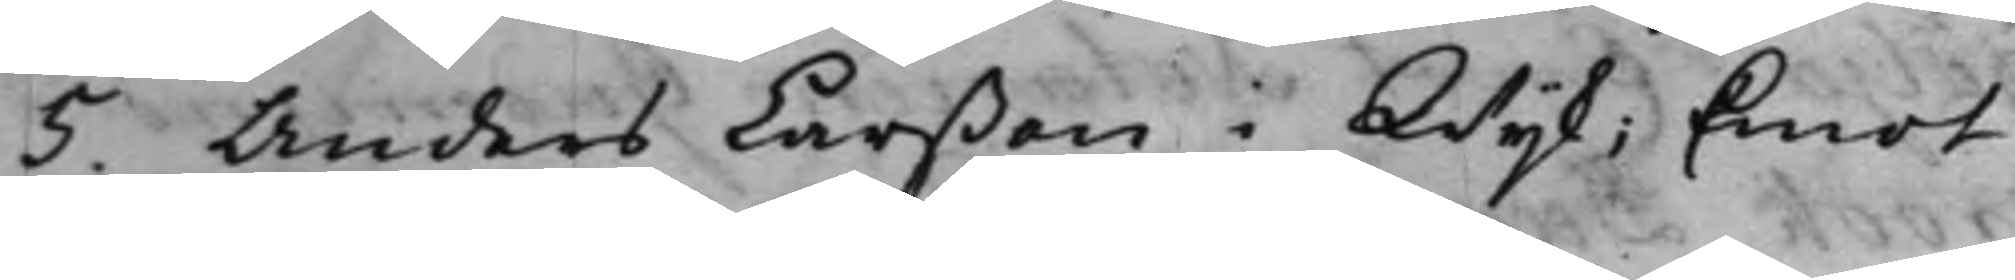5. Anders Larßon i Wijk; Emot
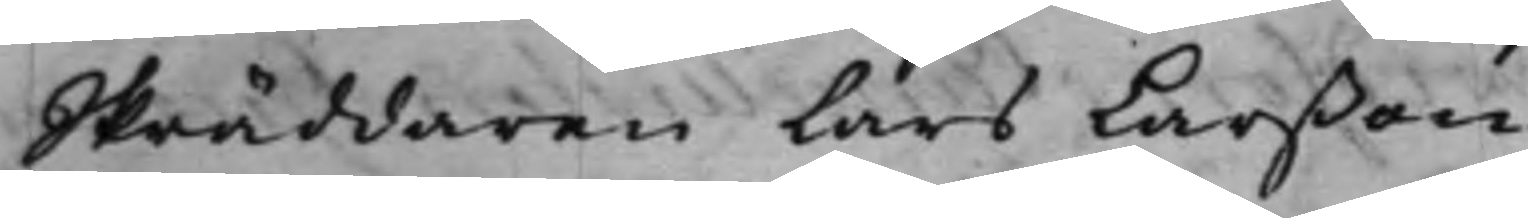Skräddaren Lars Larßon.
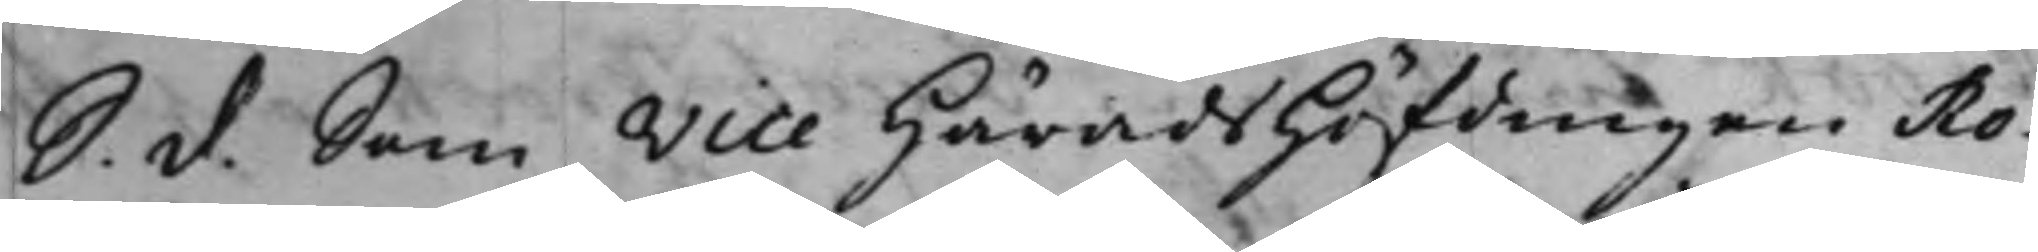S. d. Som Vice HäradsHöfdingen Ro¬
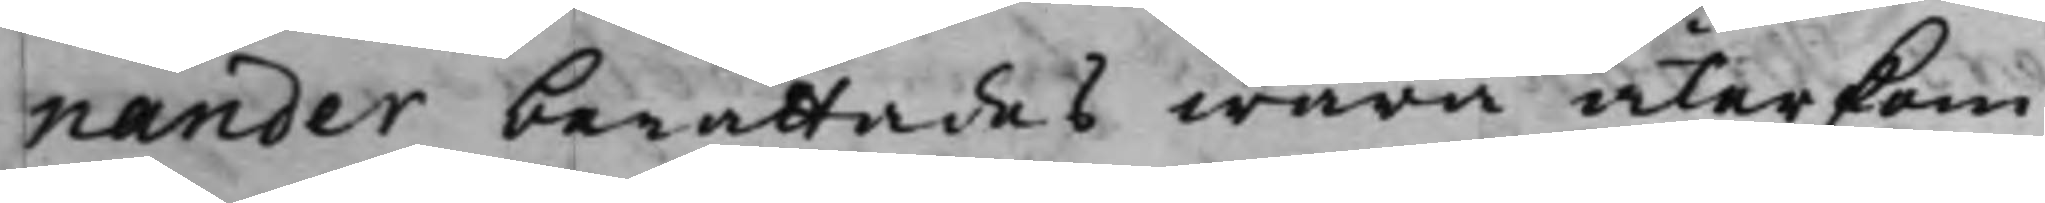nander berättades wara återkom¬
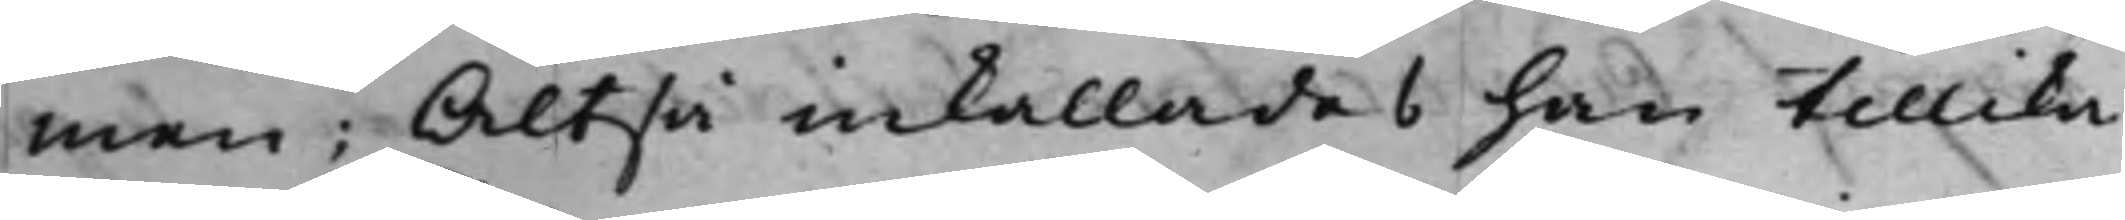men; Altså inkallades han tillika
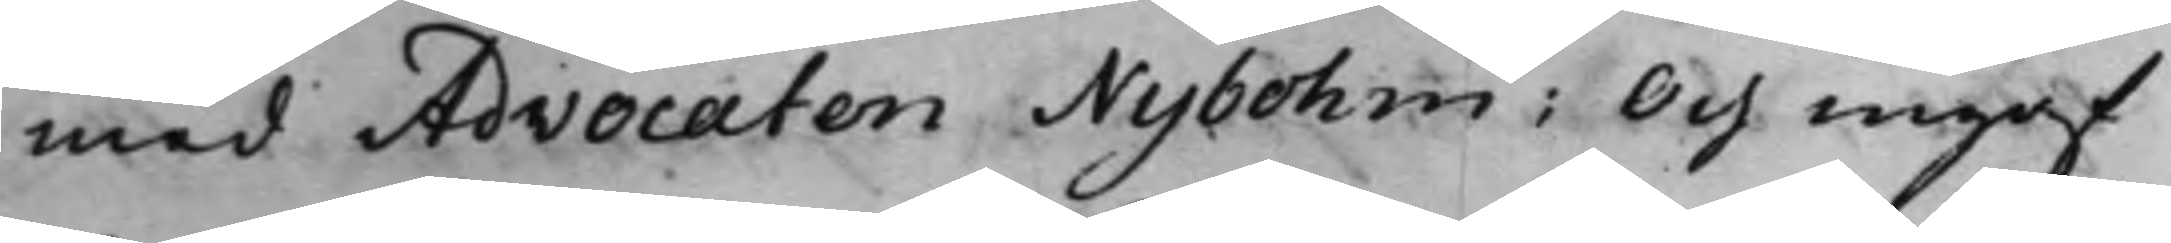med Advocaten Nybohm; Och ingaf
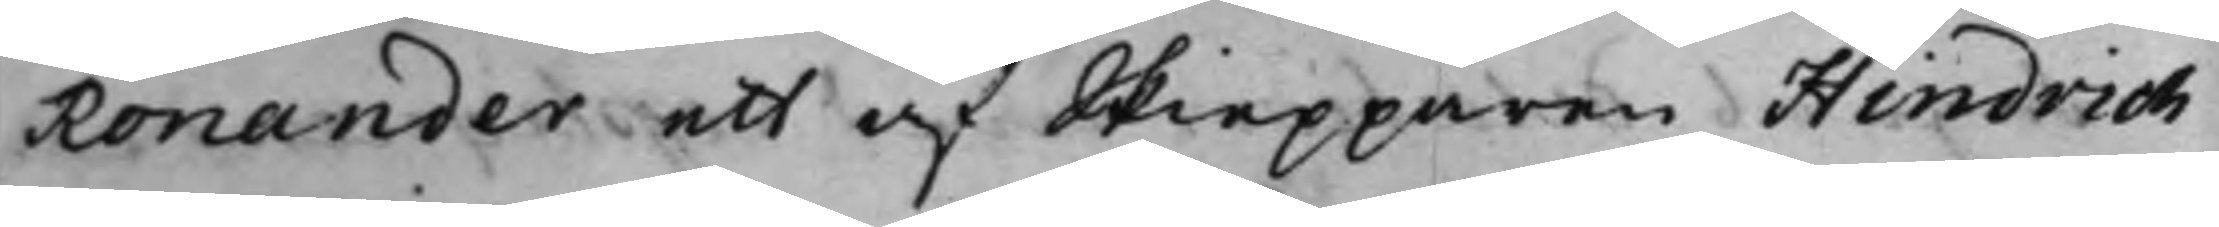Ronander ett af Skiepparen Hindrich
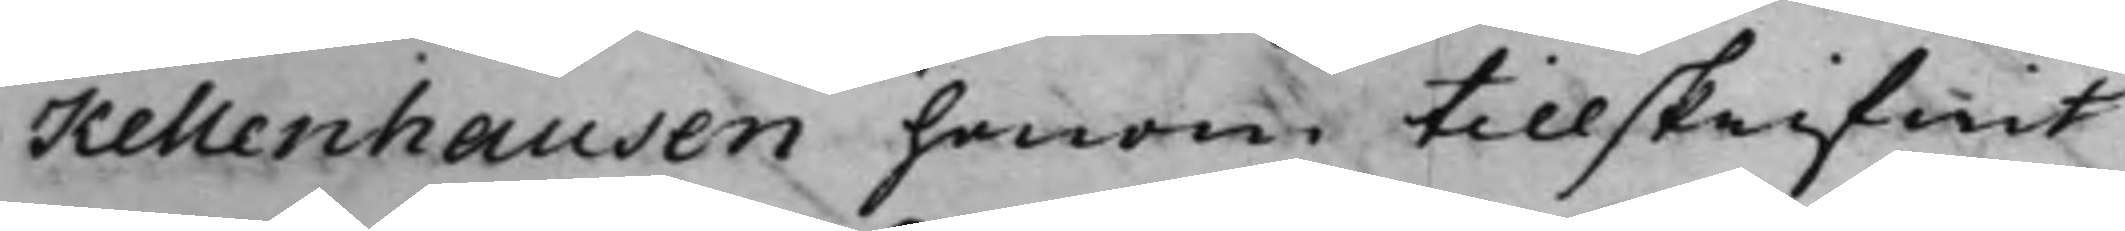Kellenhausen honom tillskrifwit
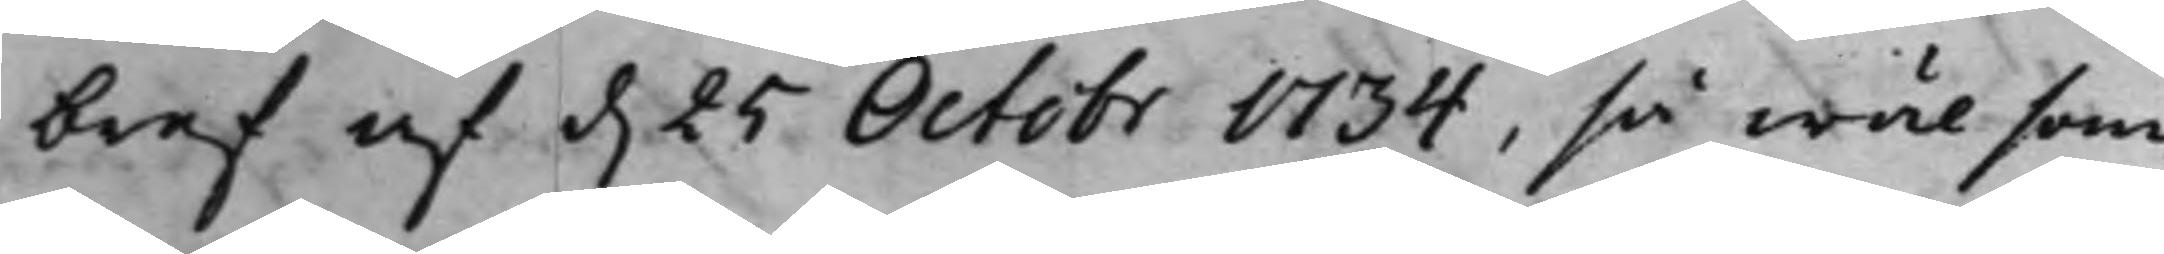bref af d. 25 Octobr 1734, så wäl som
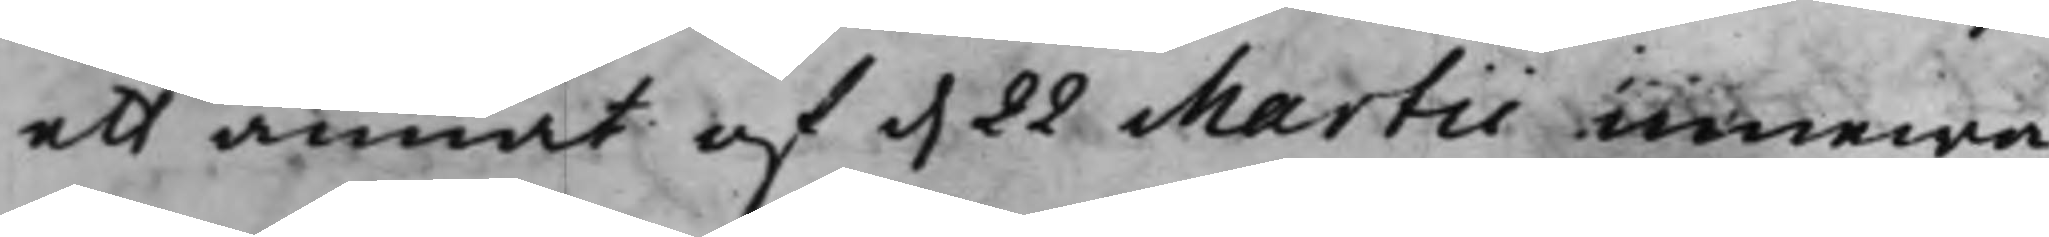ett annat af d. 22 Martii innewa¬
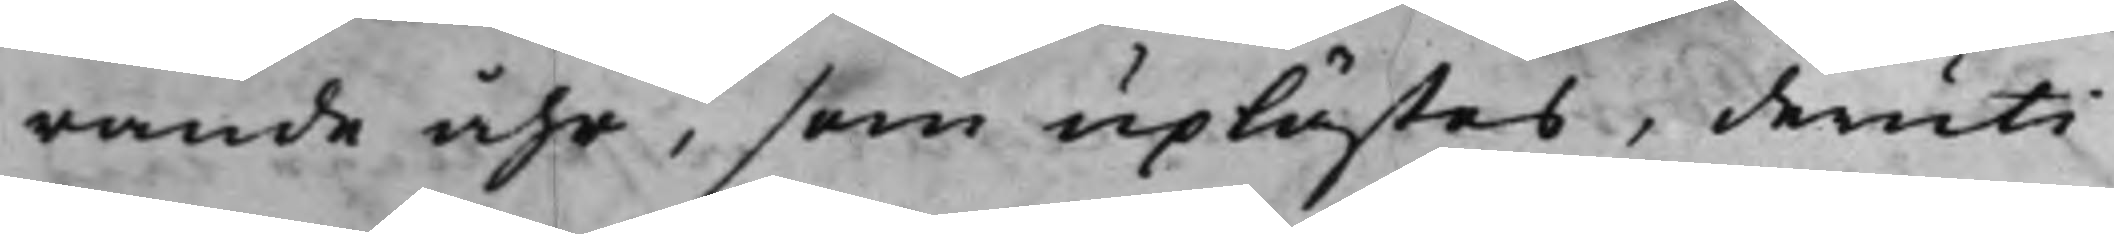rande åhr, som uplästes, deruti
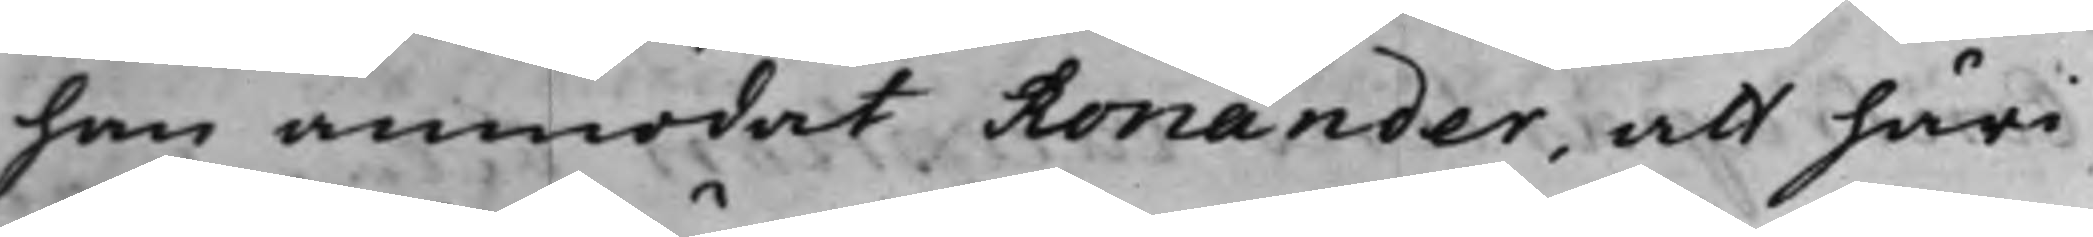han anmodat Ronander, att häri
